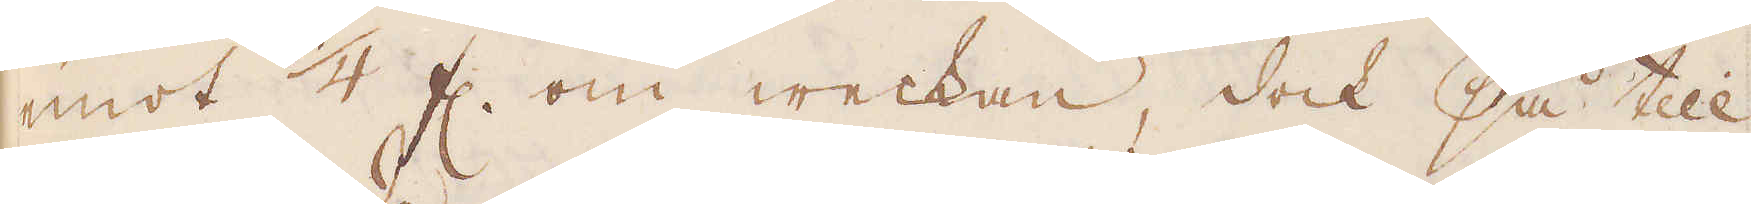emot 1/4 fl. om weckan, dock så till
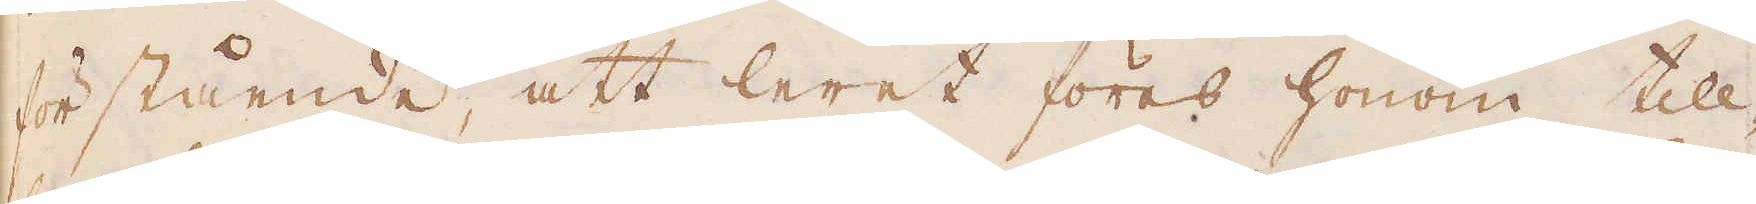förstående, att leret föres honom till-
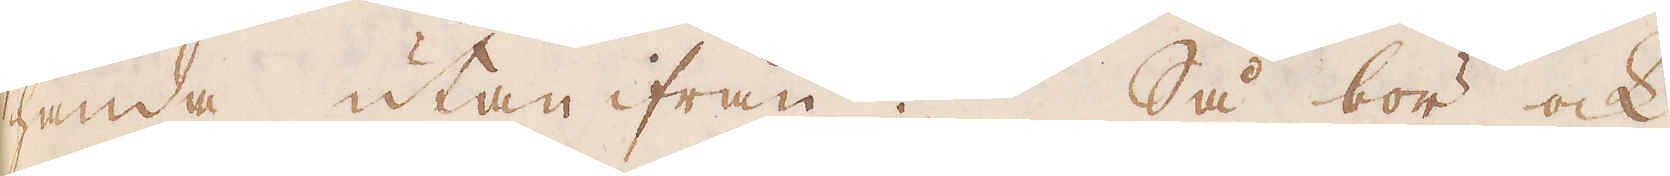handa utan ifrån. Så bör ock
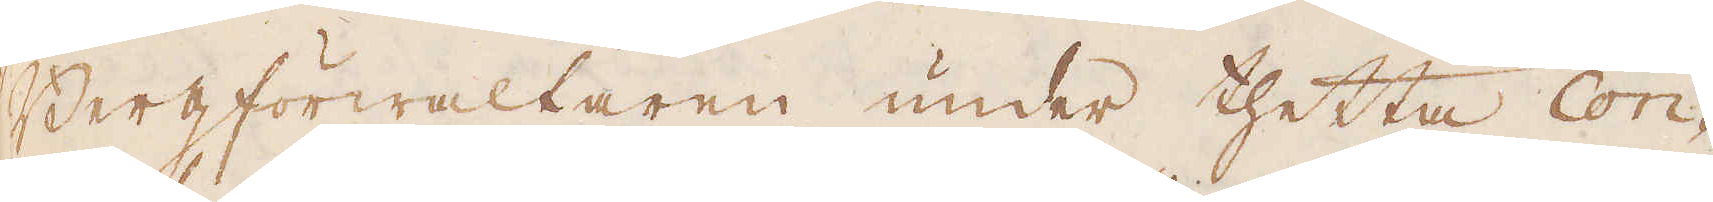Bergförwaltaren under thetta Con-
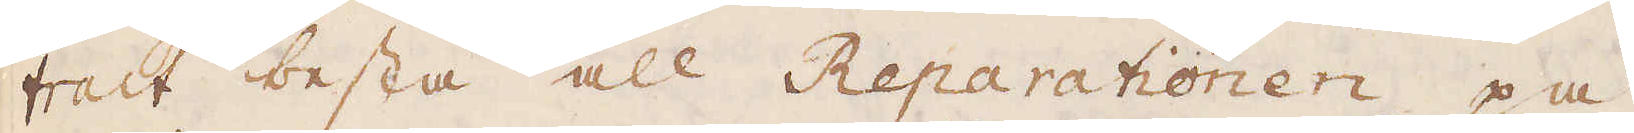tract bestå all Reparationen på
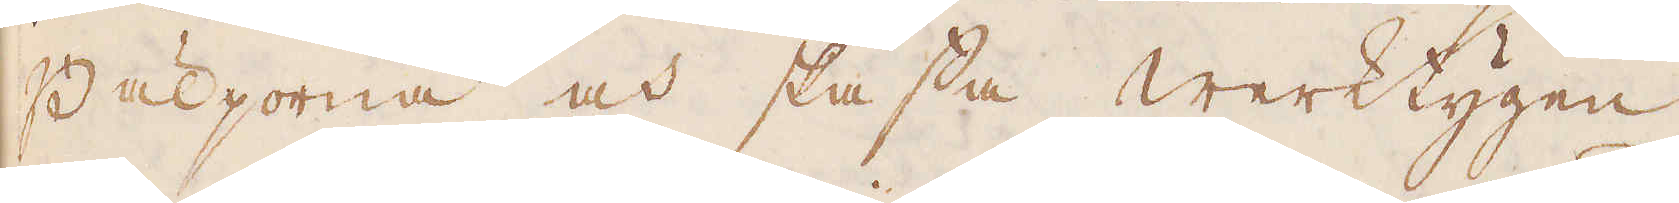Bäljorna och skaffa werktygen,
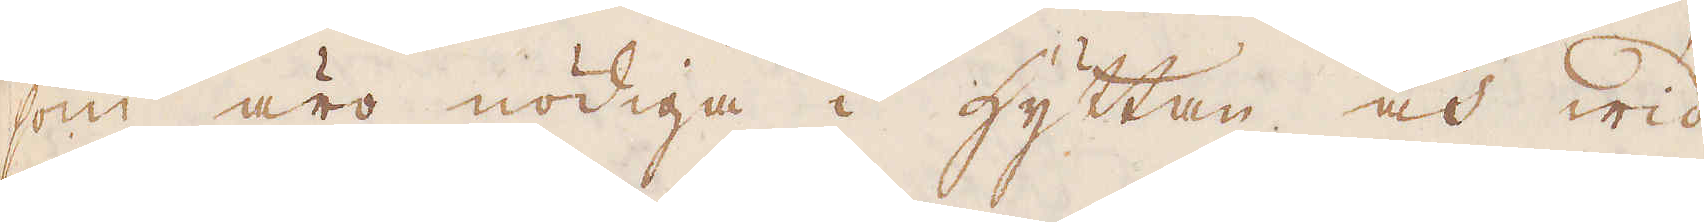som äro nödiga i hyttan och wid
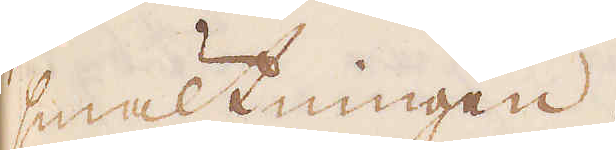smältningen.
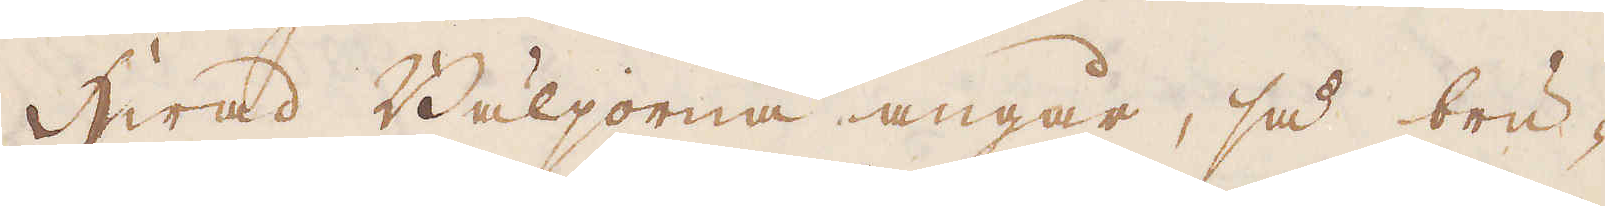Hwad Bäljorna angår, så bru-
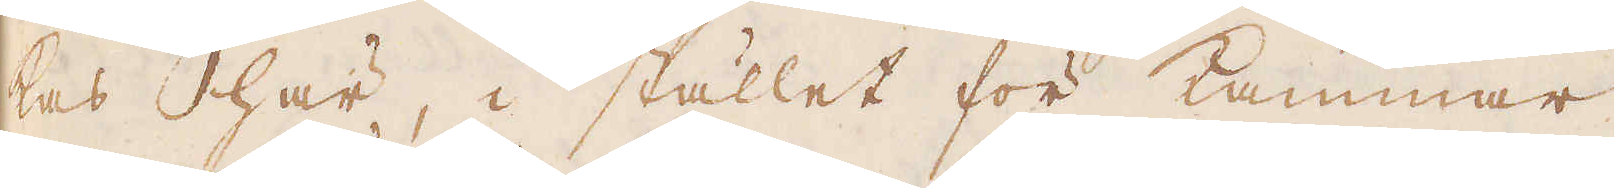kas här, i stället för kammar
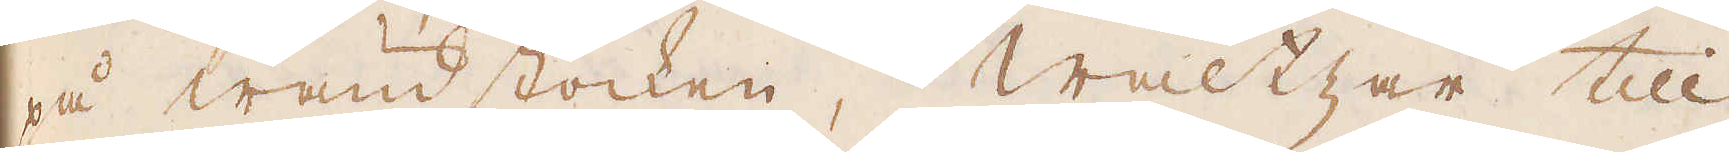på wändstocken, Waltzar till
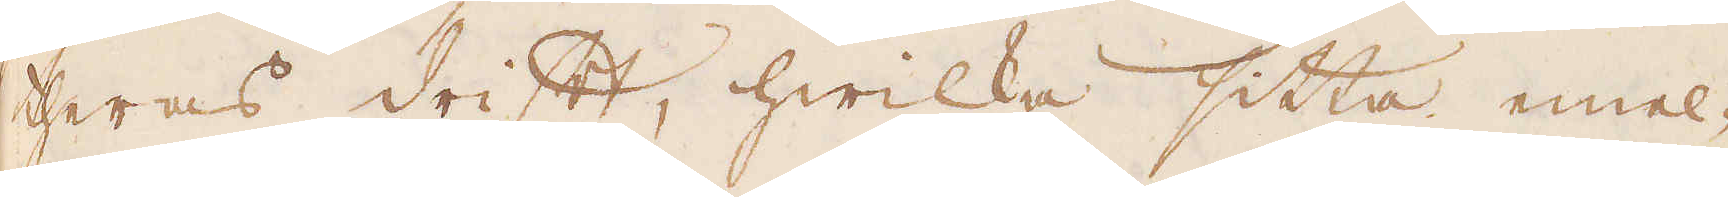theras drift, hwilka sitta emel-
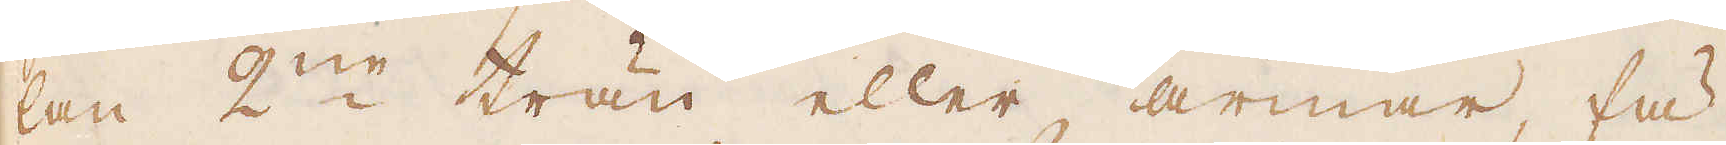lan 2:ne trän eller armar, fä-
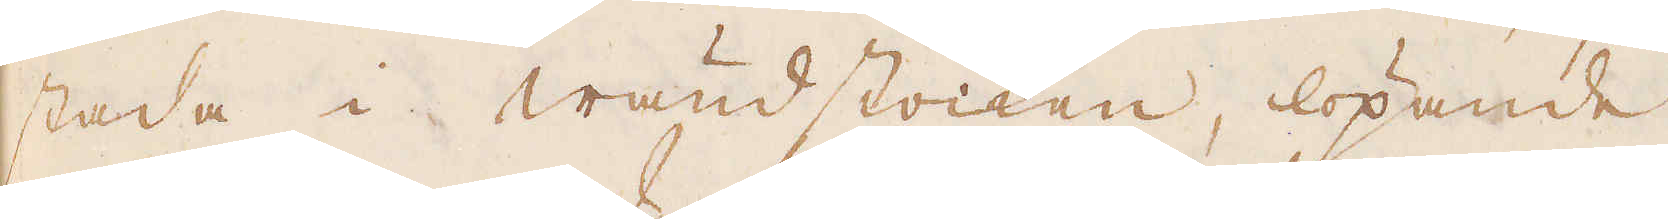stada i wändstocken, löpande
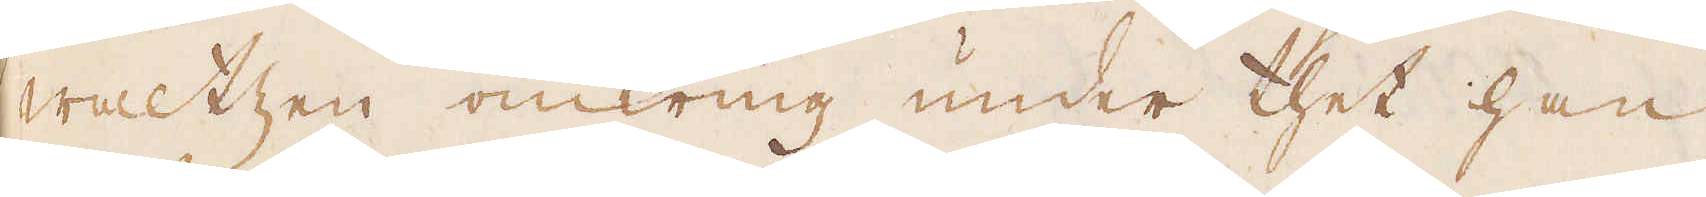Waltzen omkring under thet han
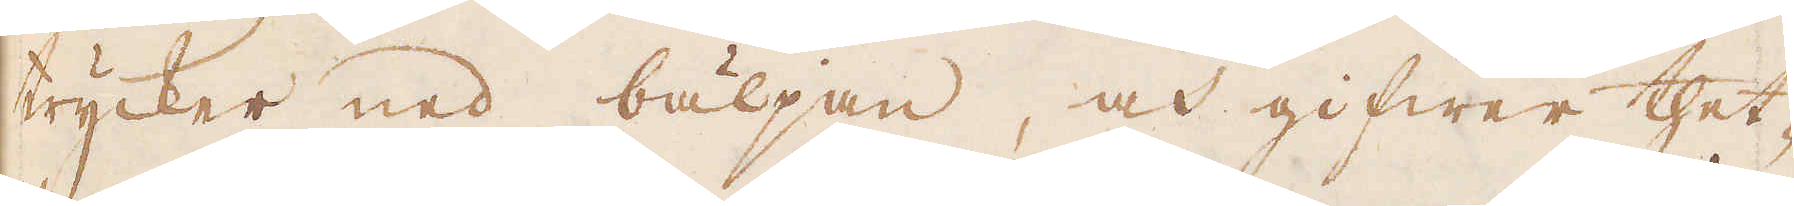trycker ned bäljan, och gifwer thet-
